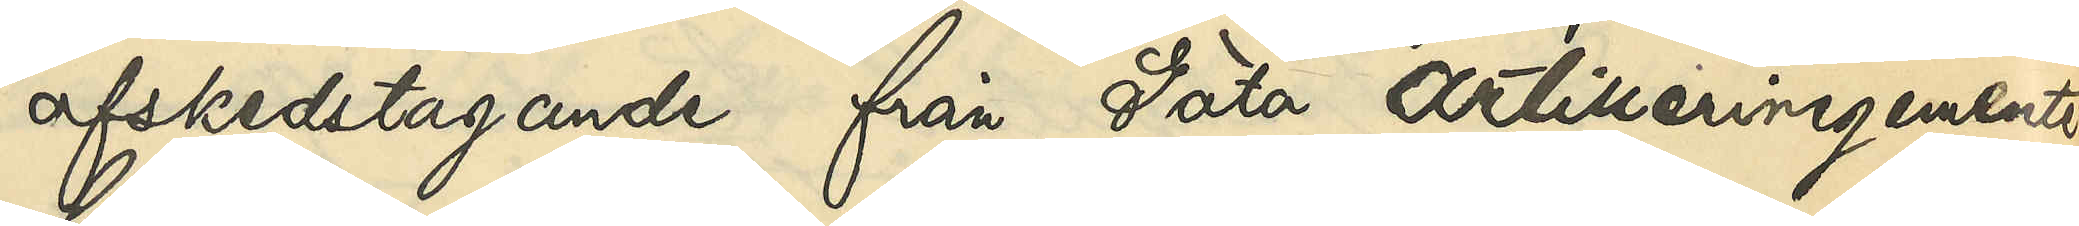afskedstagande från Göta Artilleriregemente
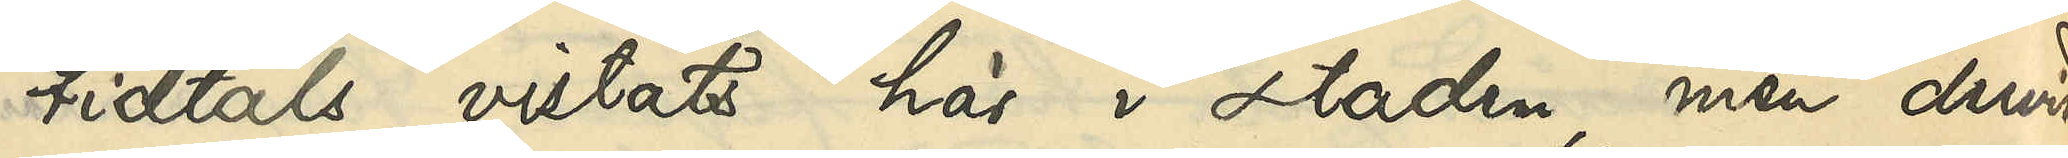tidtals vistats här i staden, men dervid
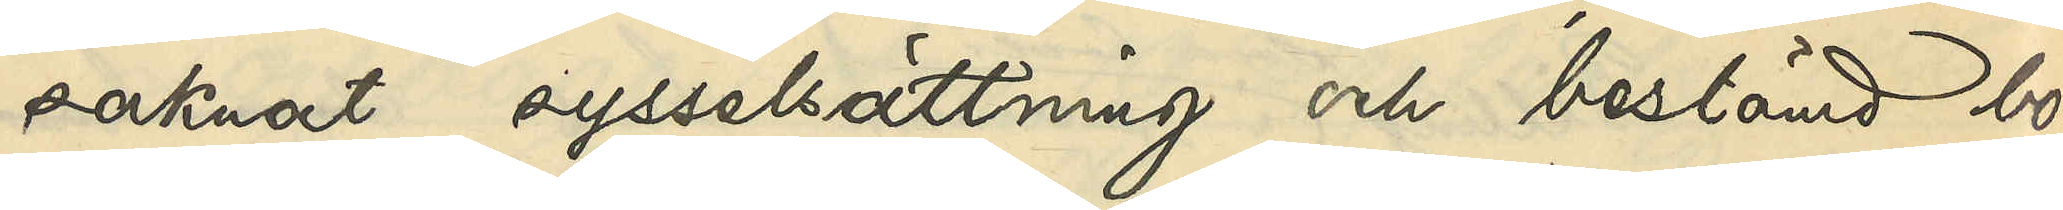saknat sysselsättning och bestämd bo¬
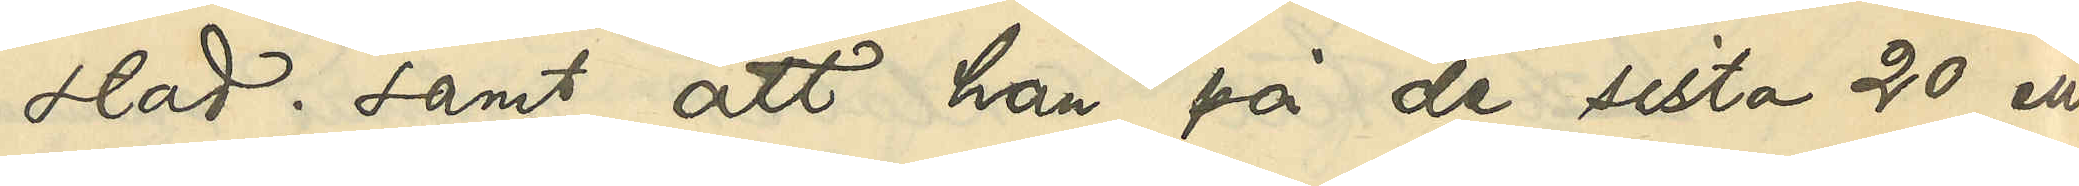stad; samt att han på de sista 20 eller
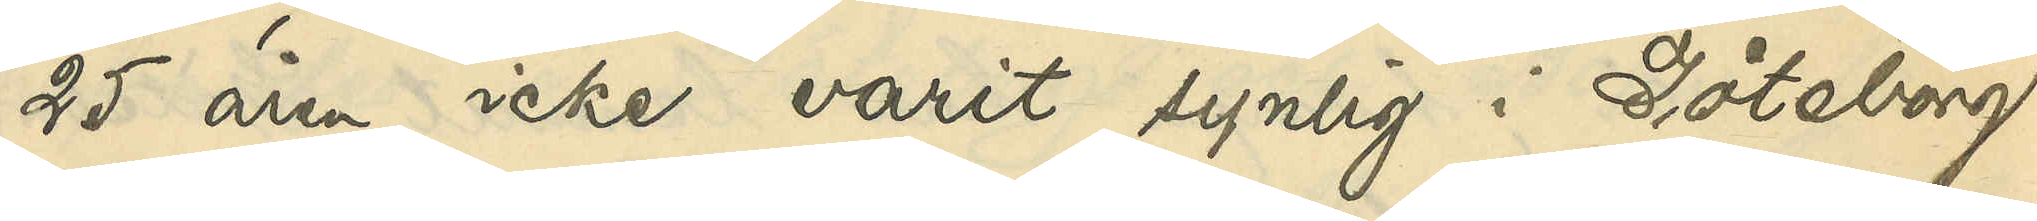25 åren icke varit synlig i Göteborg.
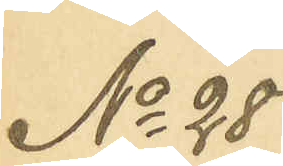No 28
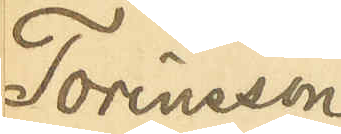Torénsson
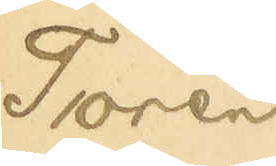Torén
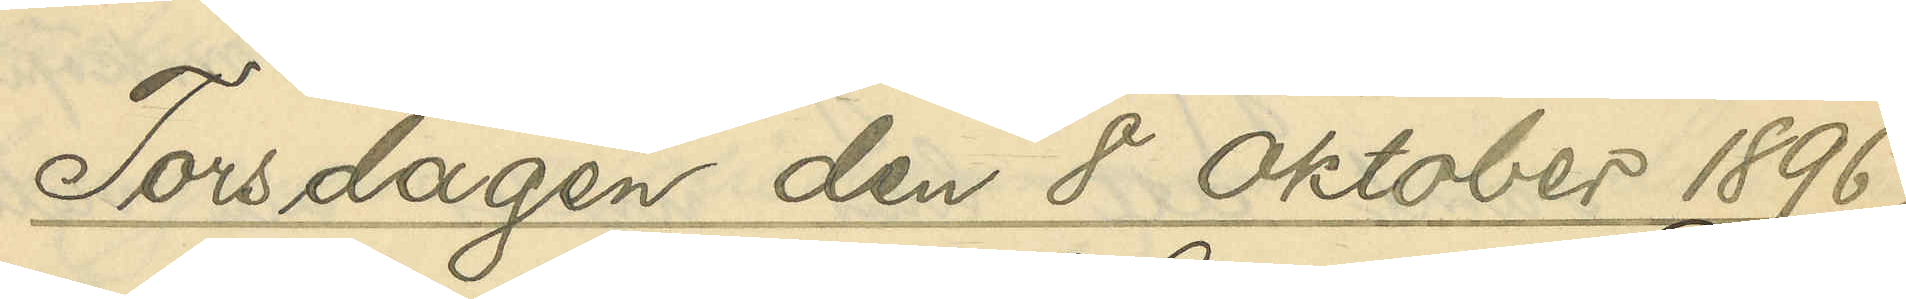Torsdagen den 8 Oktober 1896.
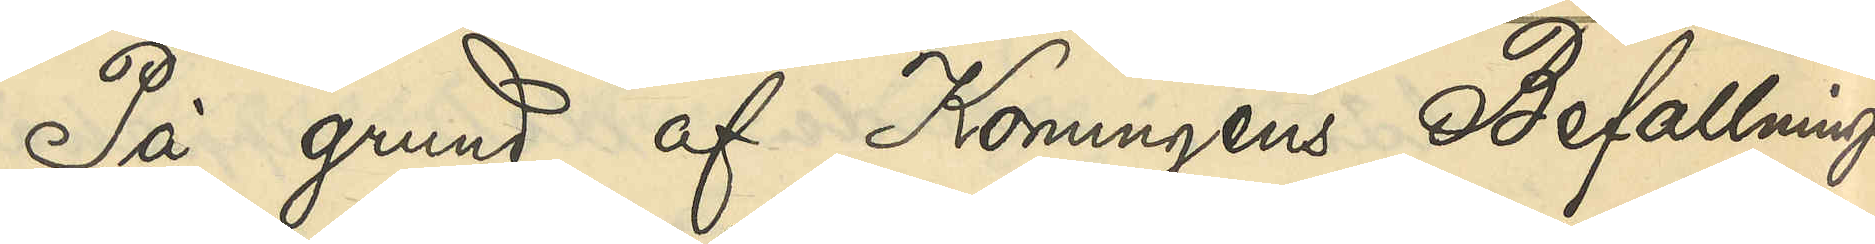På grund af Konungens Befallnings¬
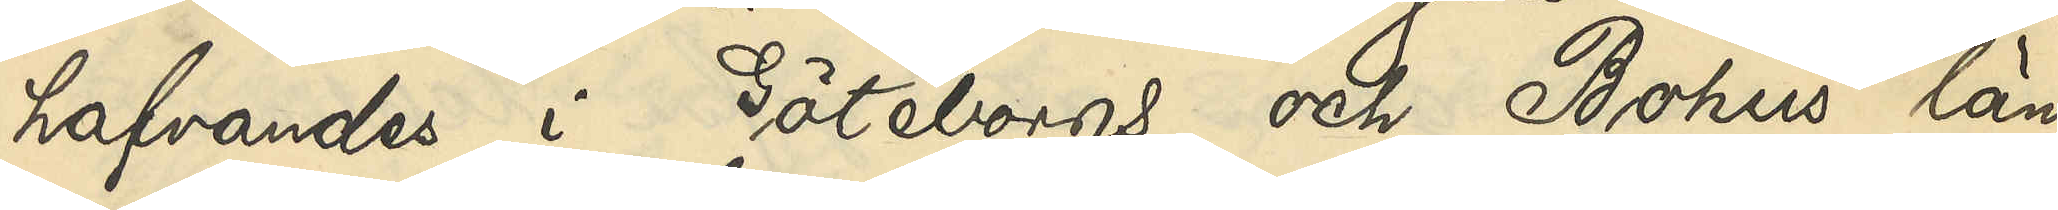hafvandes i Göteborgs och Bohus län
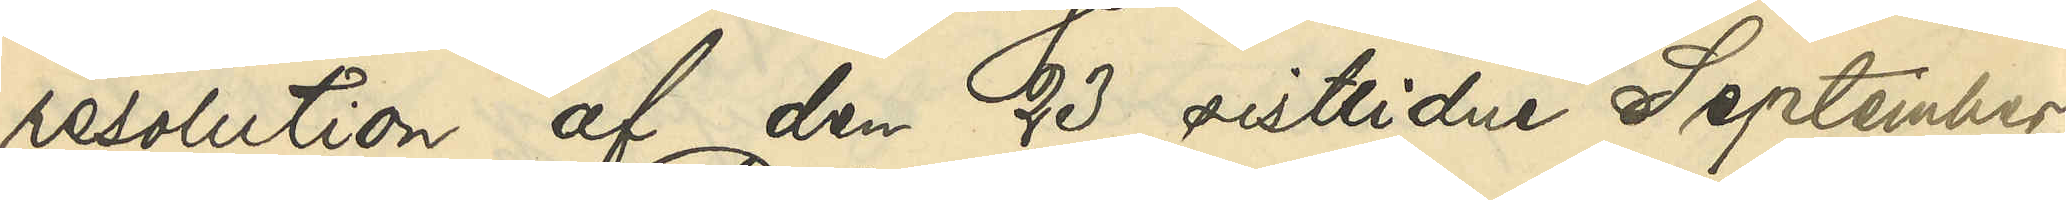resolution af den 23 sistlidne September,
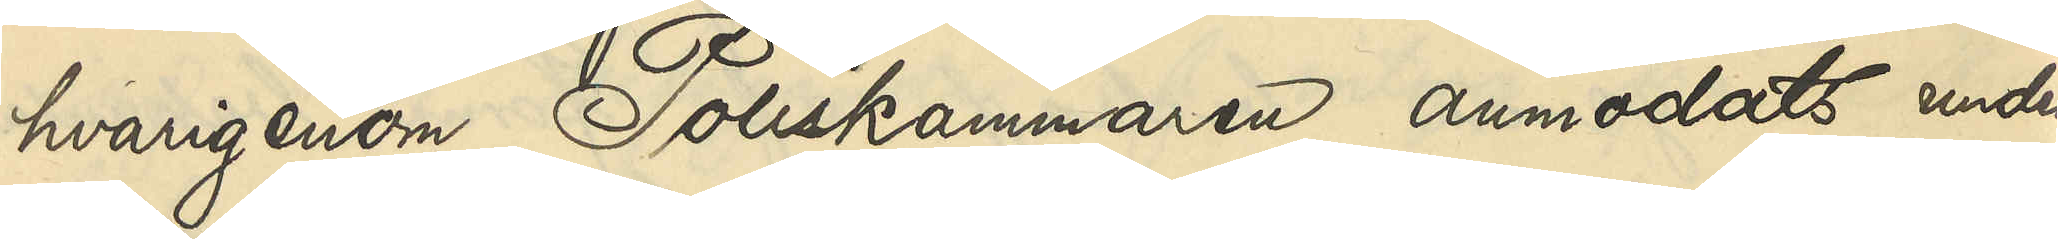hvarigenom Poliskammaren anmodats under¬
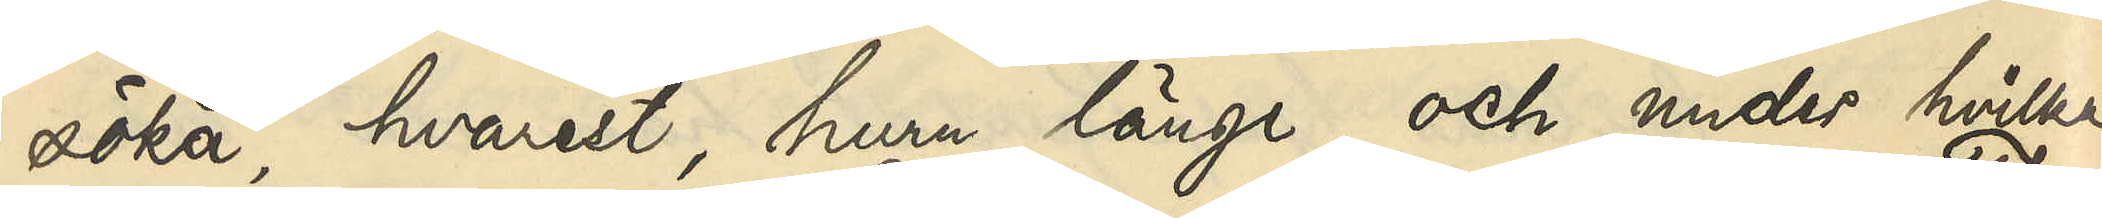söka, hvarest, huru länge och under hvilka
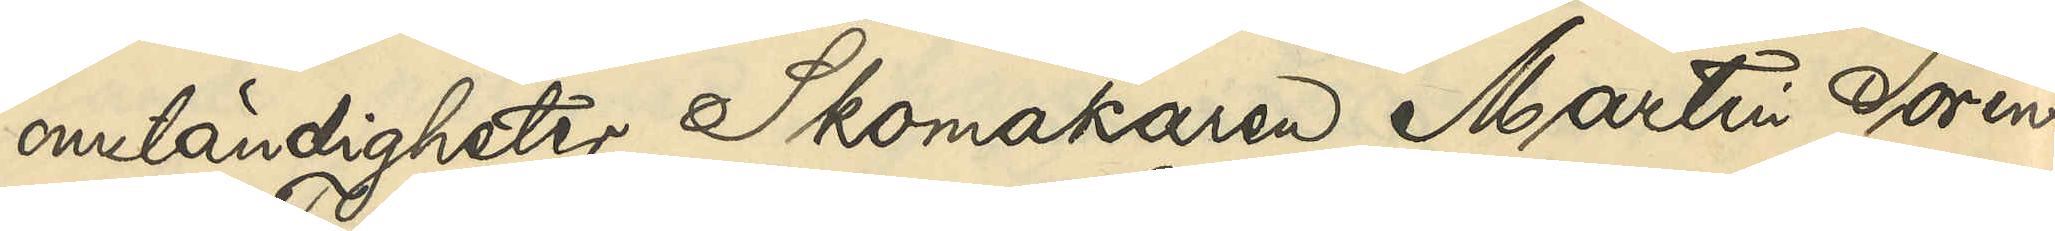omständigheter Skomakaren Martin Toréns¬
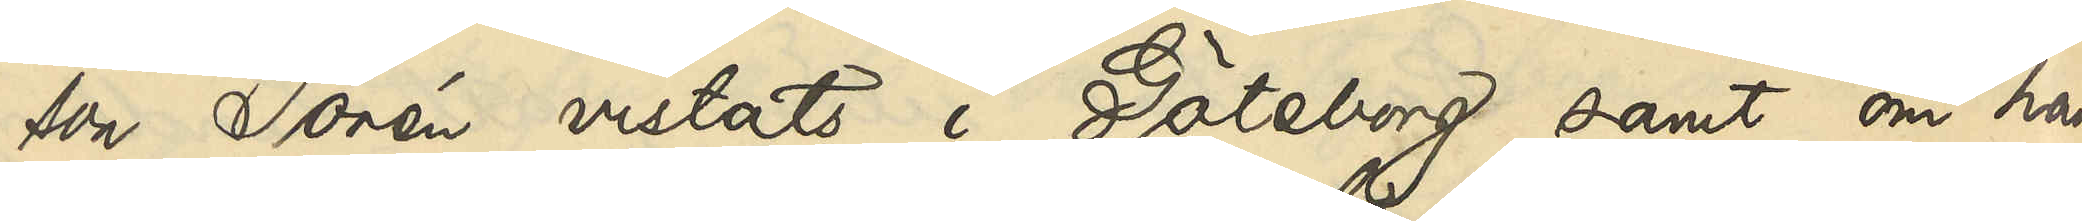son Torén vistats i Göteborg samt om han
